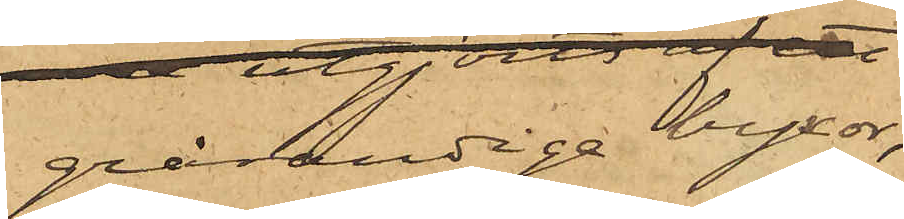grårandiga byxor,
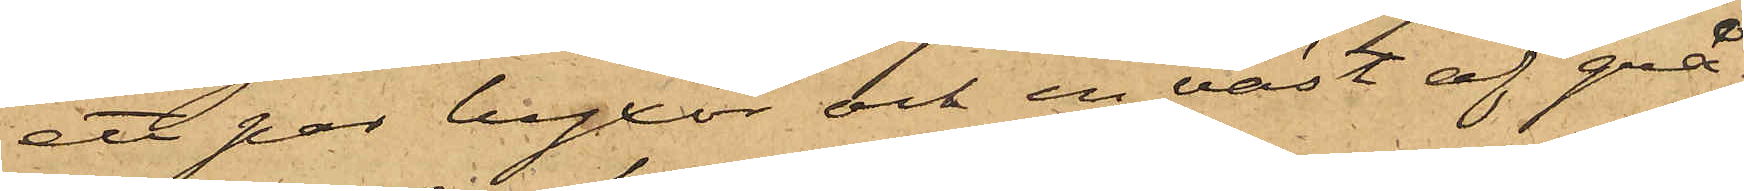ett par byxor och en väst af grå¬
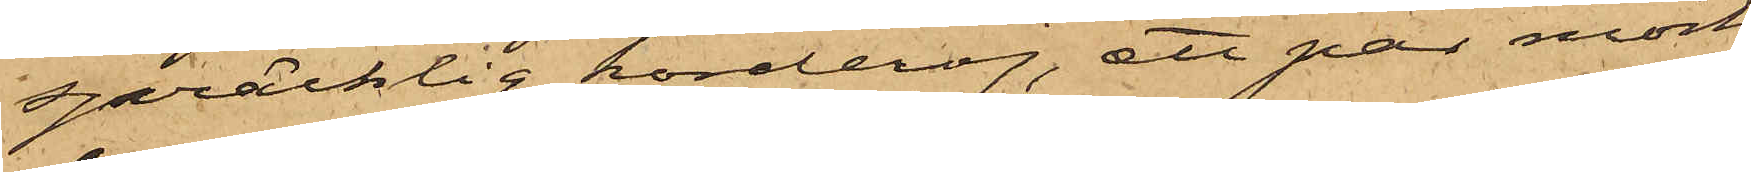spräcklig korderoj, ett par mörk¬
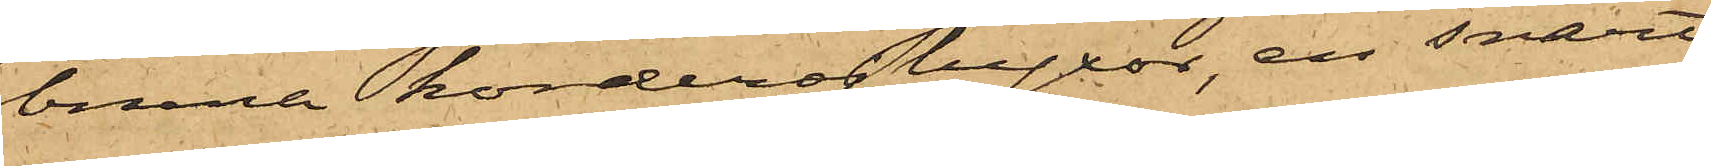bruna korderojbyxor, en svart
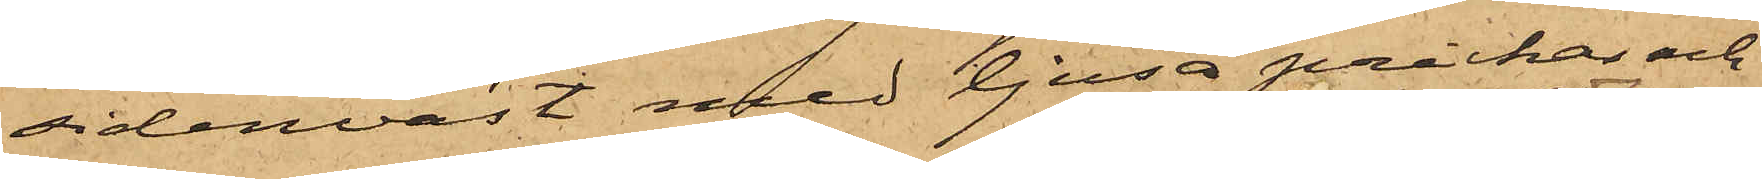sidenväst med ljusa prickar och
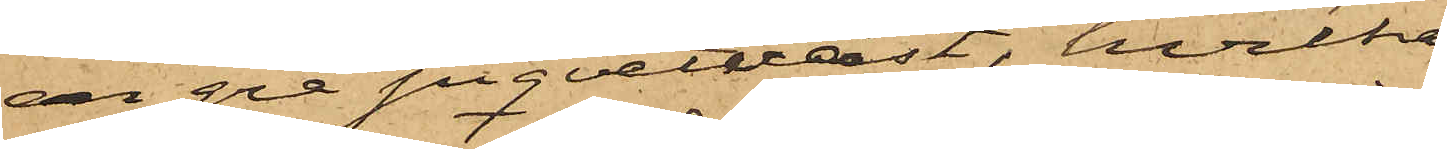en grå piquetväst, hvilka
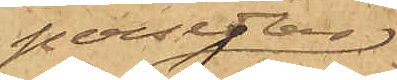persedlar
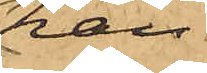han
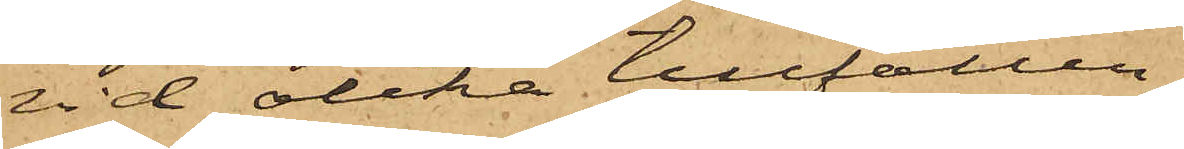vid olika tillfällen
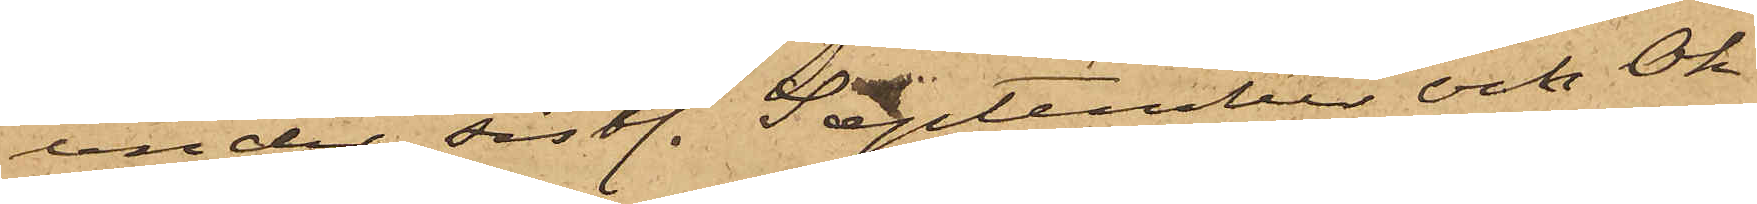under sistl. September och Ok¬
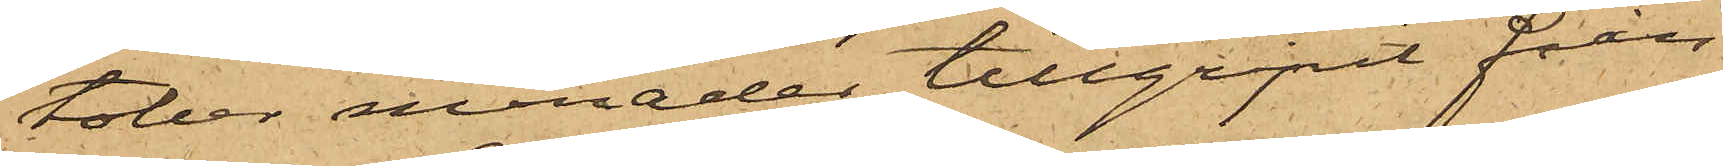tober månader tillgripit från
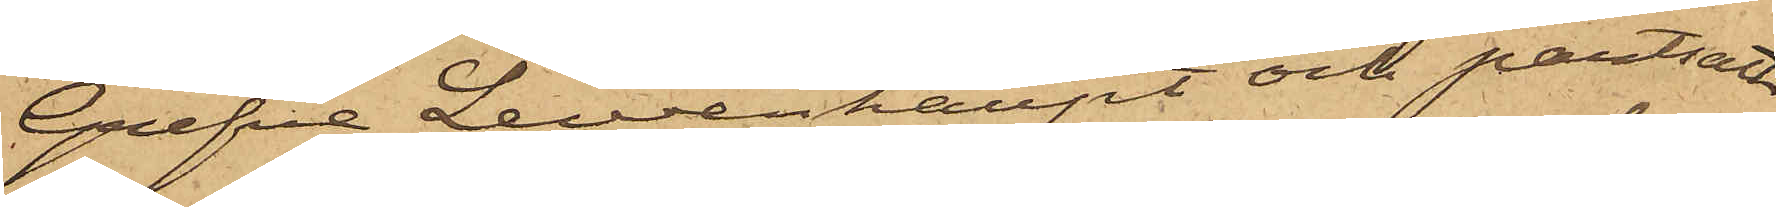Grefve Levenhaupt och pantsatt
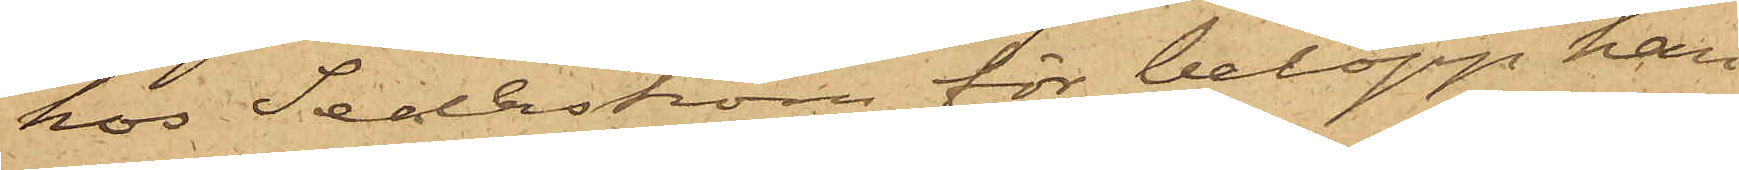hos Sederström, för belopp han
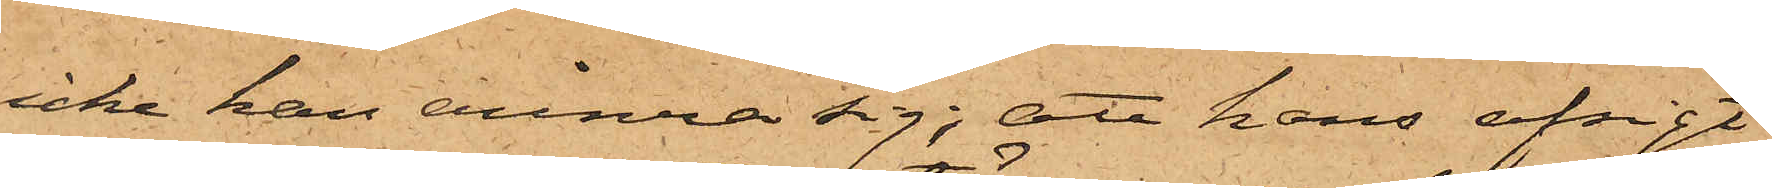icke kan erinra sig; att hans afsigt
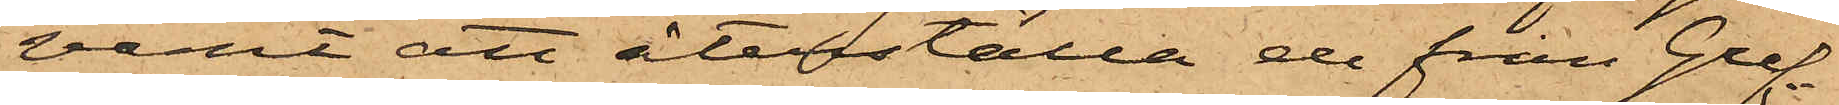varit att återställa de från Gref¬
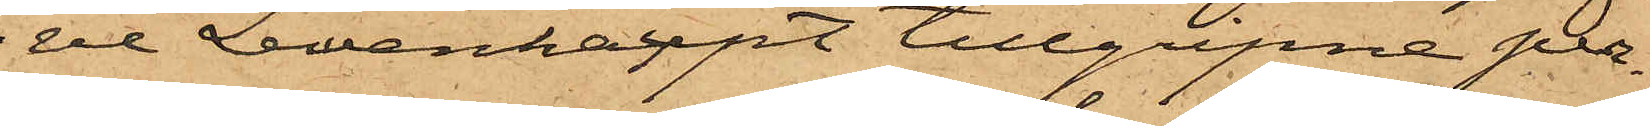ve Lewenhaupt tillgripne per¬
